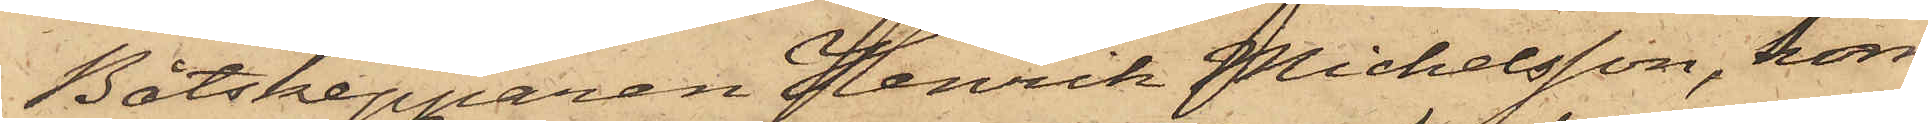Båtskepparen Henrik Michelsson, som
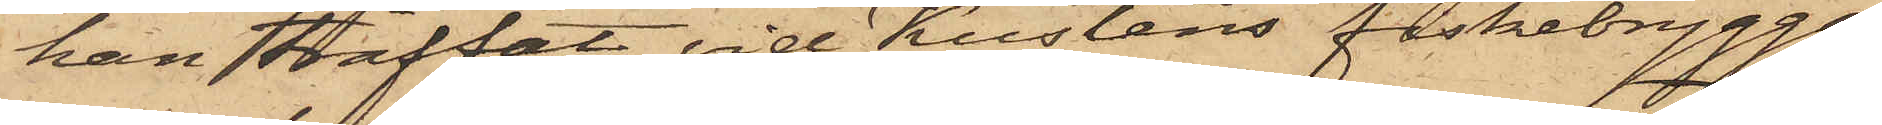han träffat vid Kustens fiskebrygga;
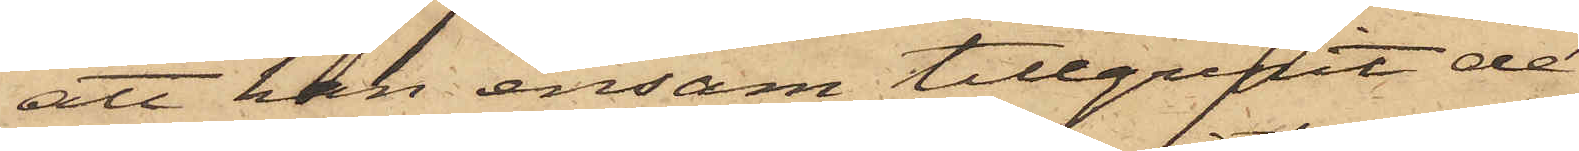att han ensam tillgripit de
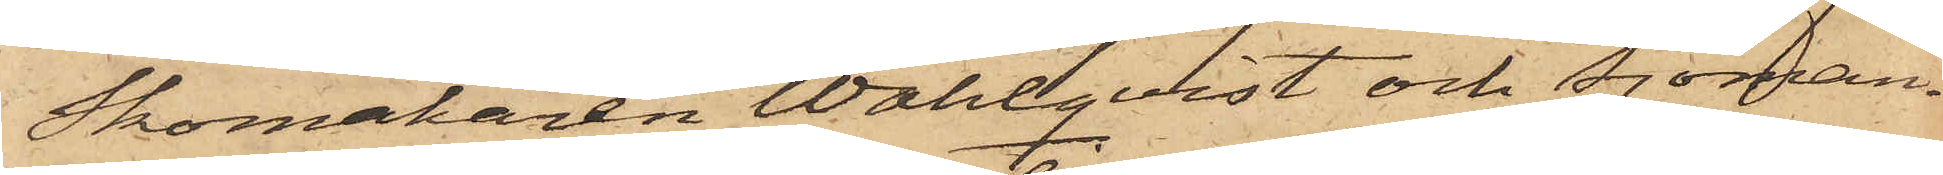Skomakaren Wahlqvist och Sjöman¬
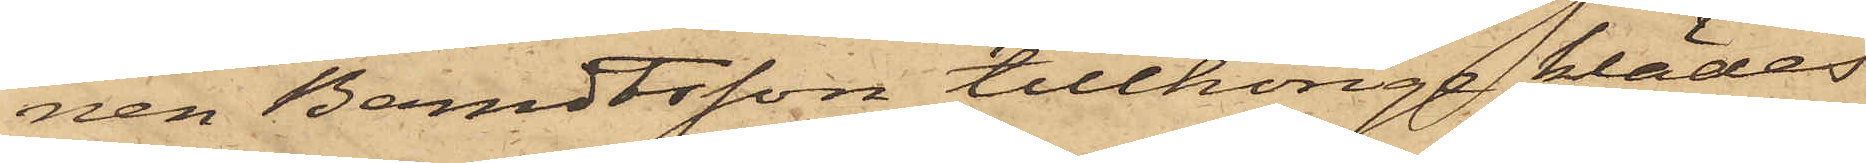nen Berndtsson tillhörige klädes¬
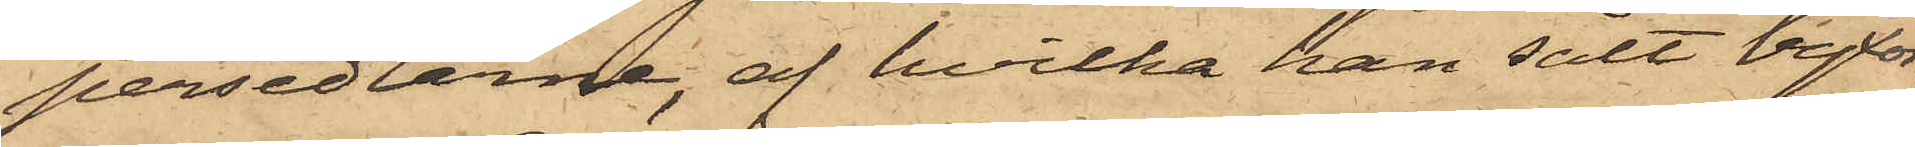persedlarne, af hvilka han sålt byxor¬
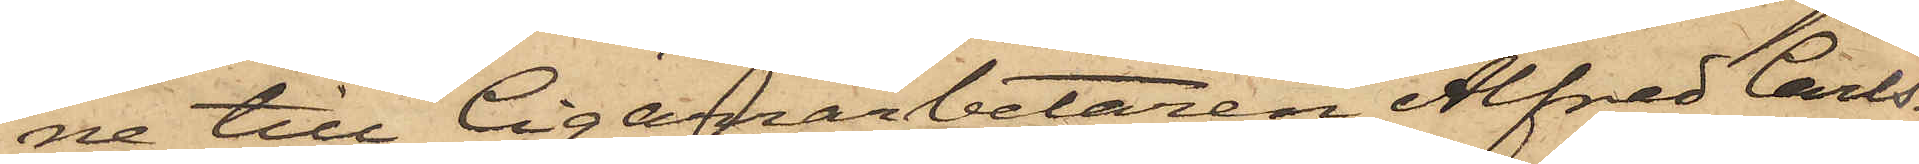ne till Cigarrarbetaren Alfred Carls¬
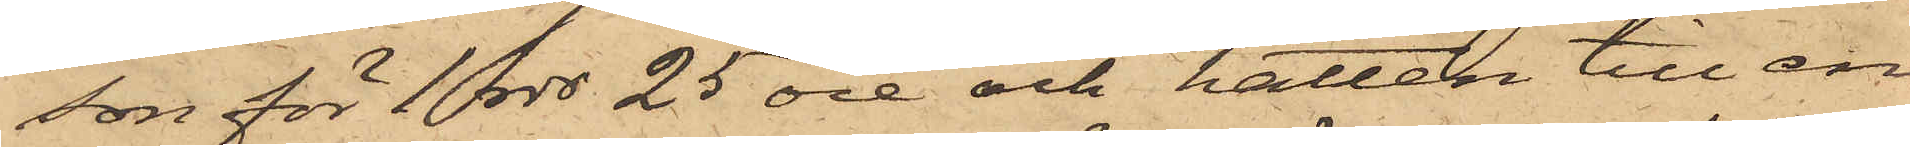son för 1 rdr 25 öre och hatten till en
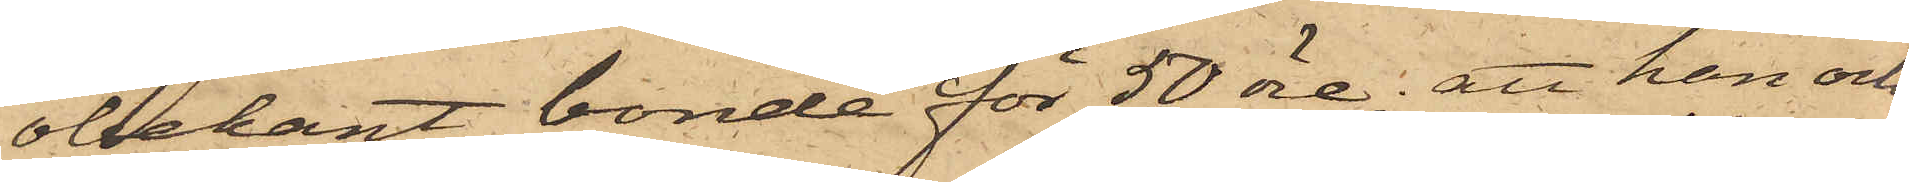obekant bonde för 50 öre; att han och
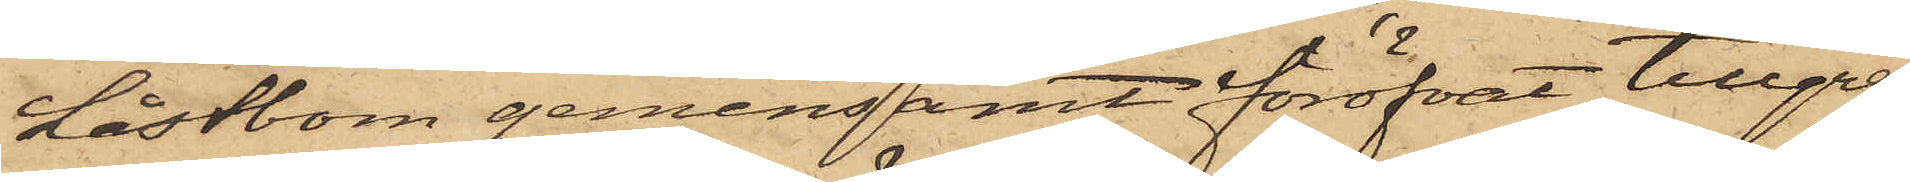Låstbom gemensamt föröfvat tillgrep¬
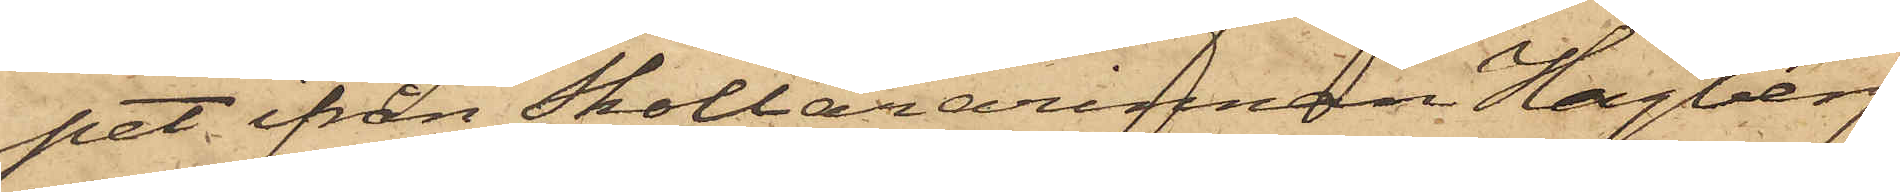pet ifrån Skollärarinnan Hagberg,
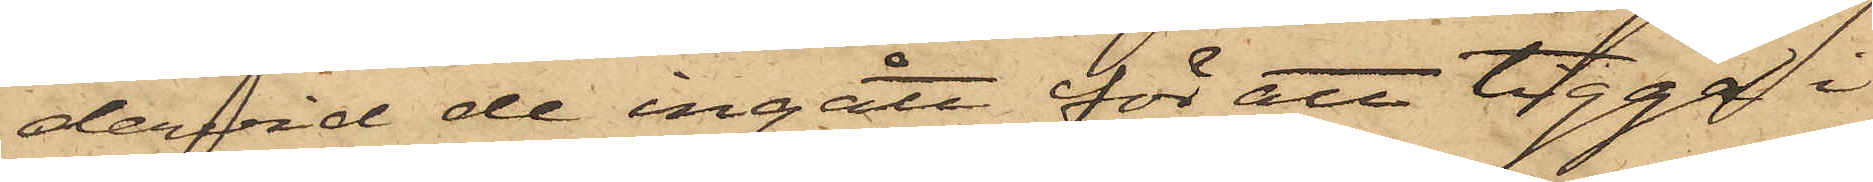dervid de ingått för att tigga i
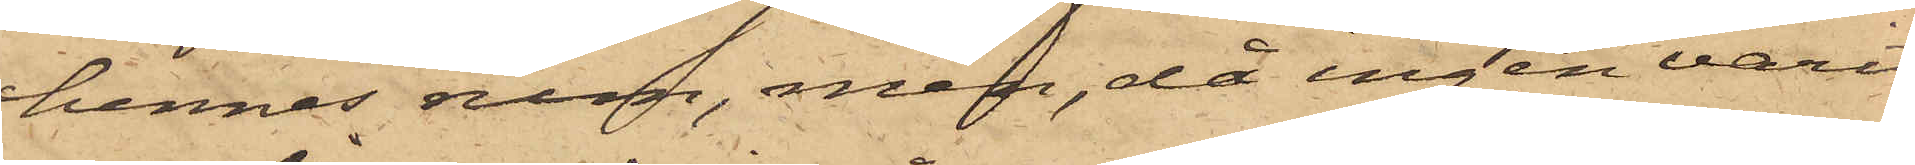hennes rum, men, då ingen varit
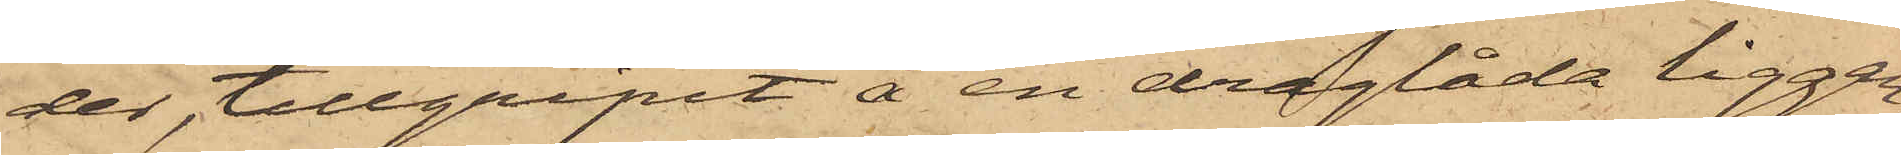der, tillgripit å en draglåda liggan¬
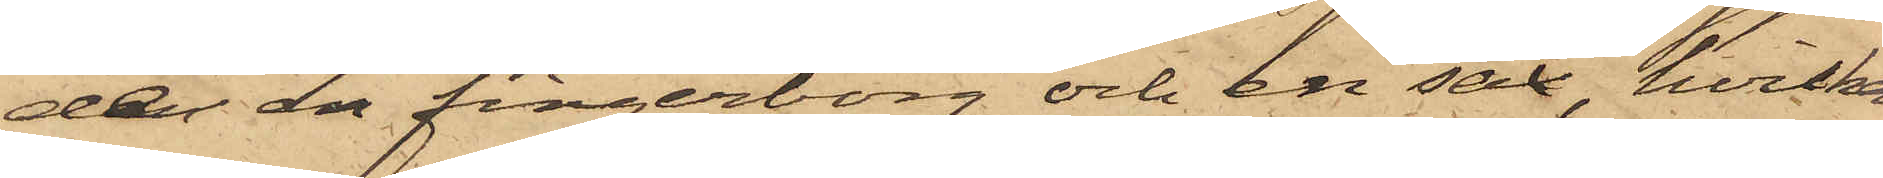de en fingerborg och en sax, hvilka
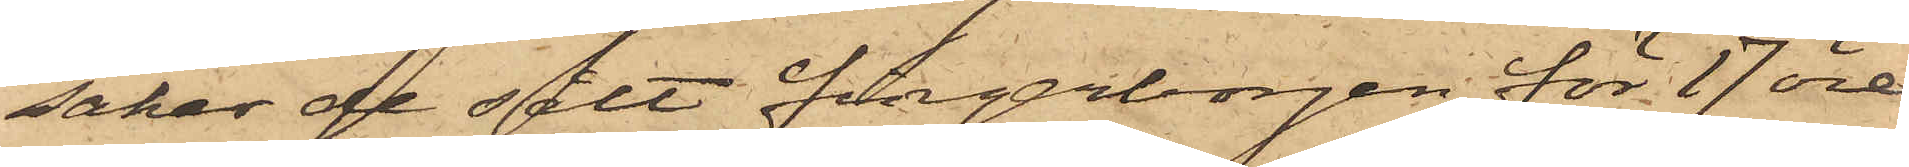saker de sålt fingerborgen för 17 öre
